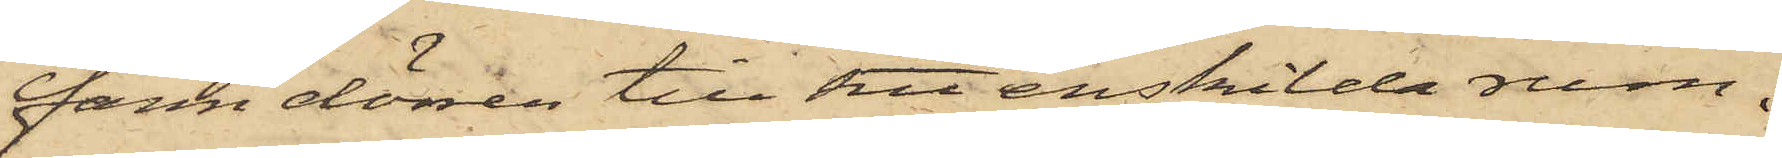fann dörren till sitt enskilda rum,
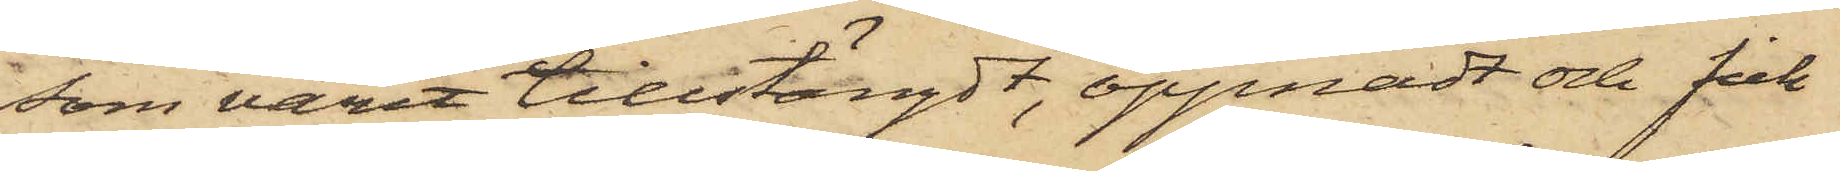som varit tillstängdt, öppnadt och fick¬
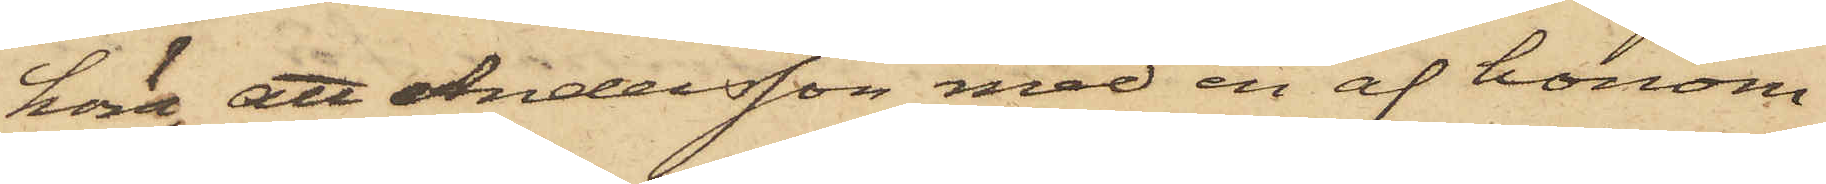höra, att Andersson med en af honom
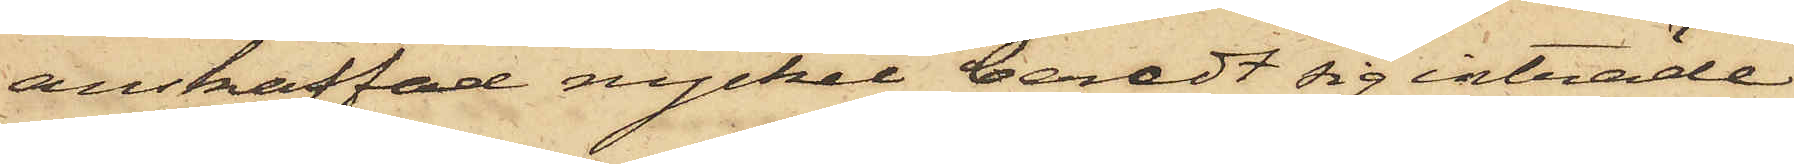anskaffad nyckel beredt sig inträde
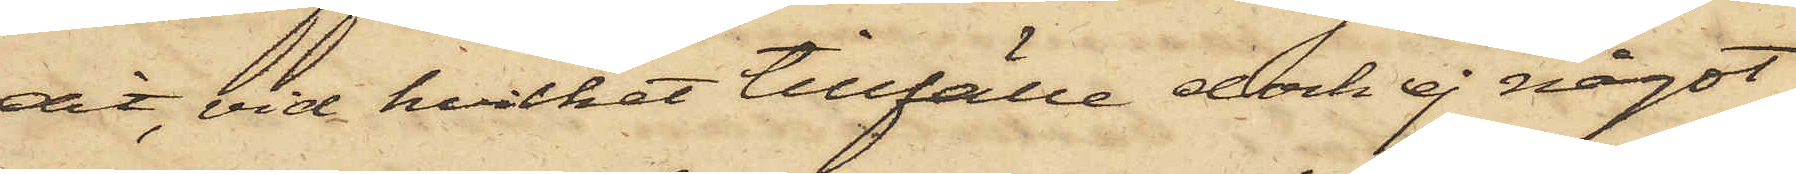dit, vid hvilket tillfälle dock ej något
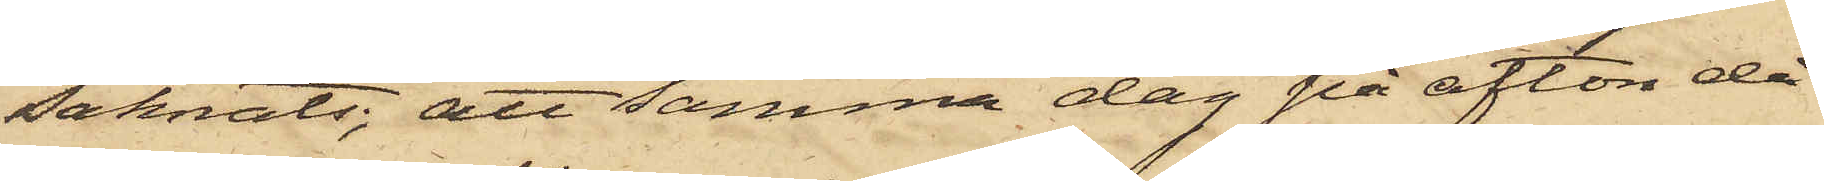saknats, att samma dag på afton då
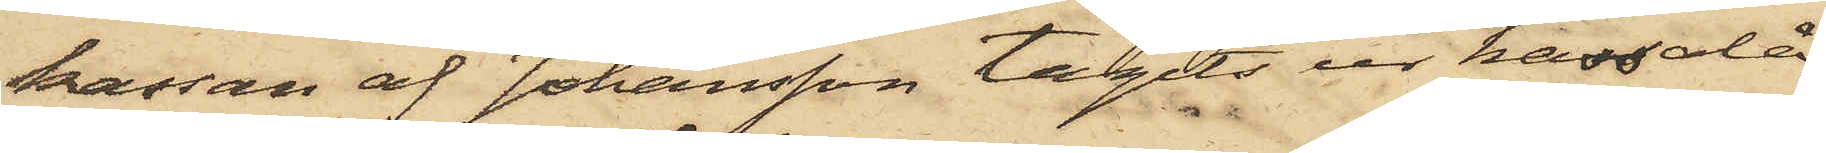kassan af Johansson tagits ur kassalå¬
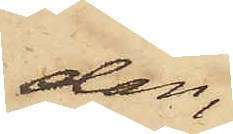dan,
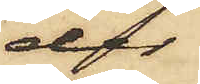der
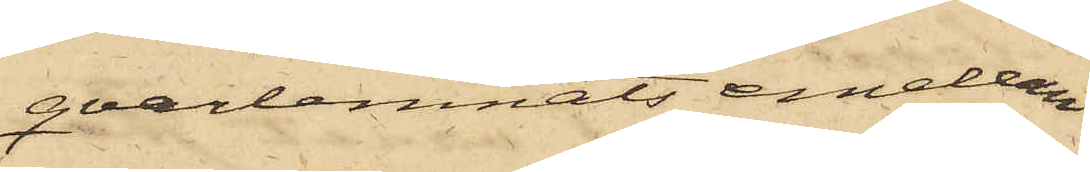qvarlemnats emellan
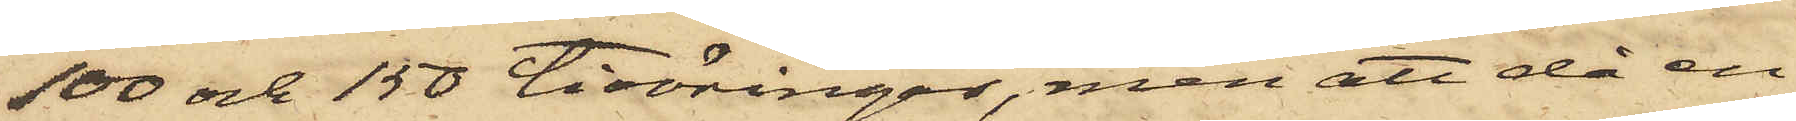100 och 150 tioöringar, men att då en
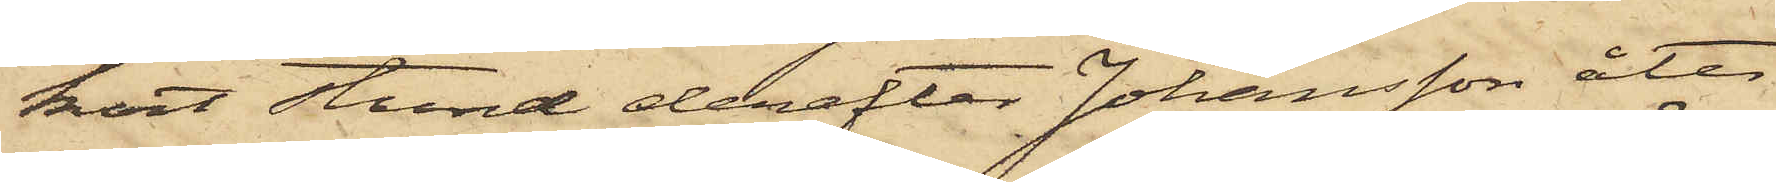kort stund derefter Johansson åter
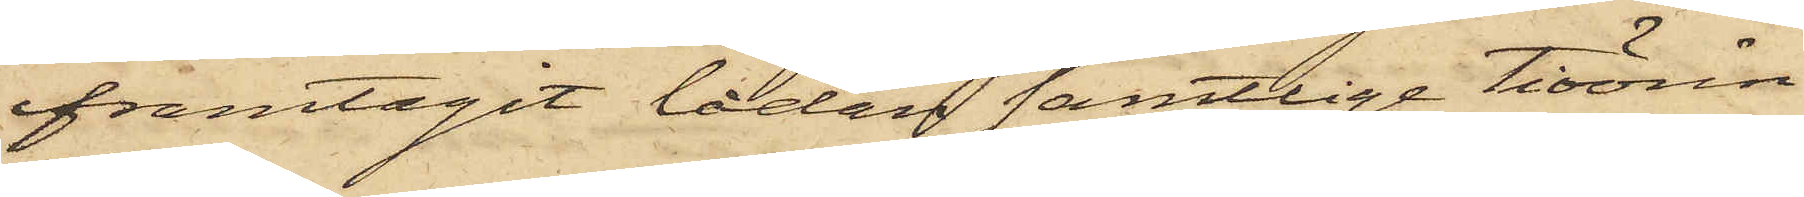framtagit lådan samtlige tioörin¬
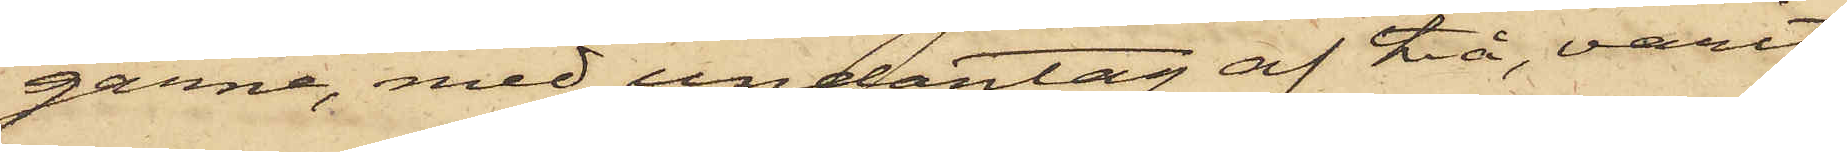garne, med undantag af två, varit
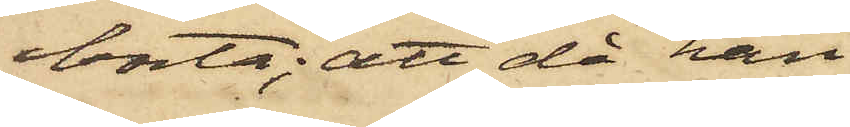borta; att då han
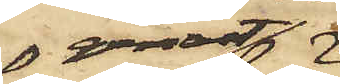genast
